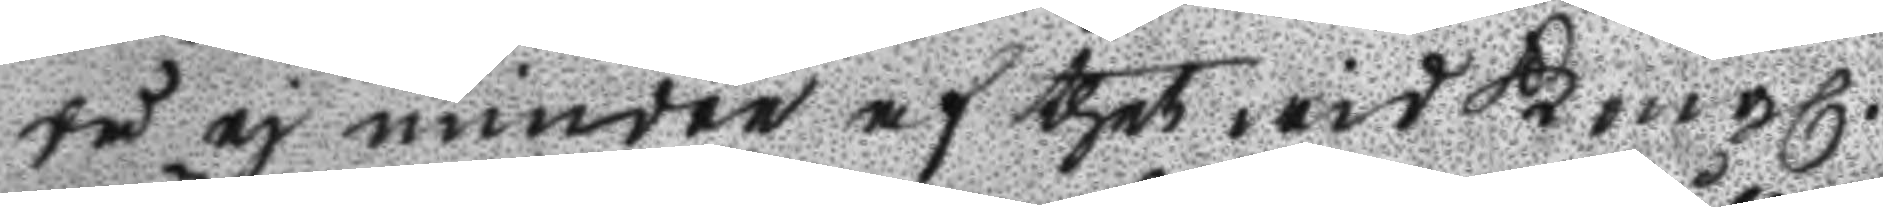tå ej mindre af thet wid Kongl.
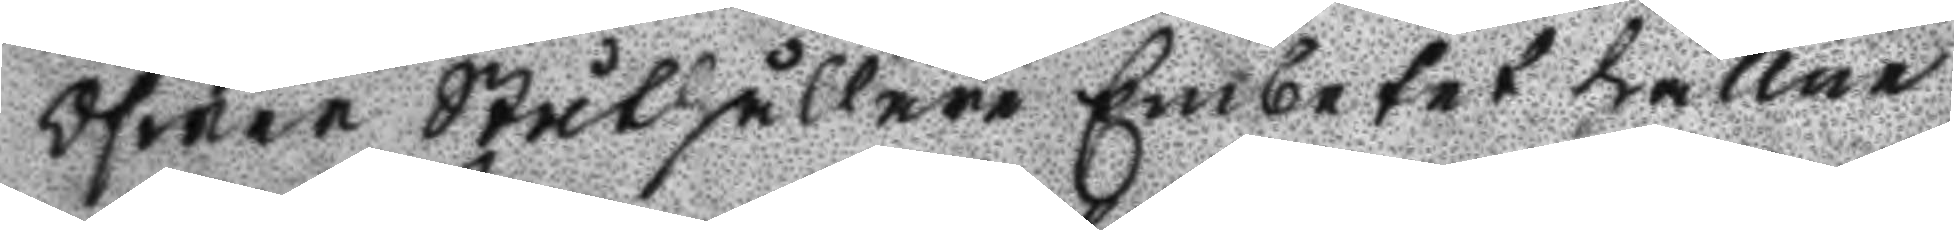Öfwer Ståthållare Embetet hållne
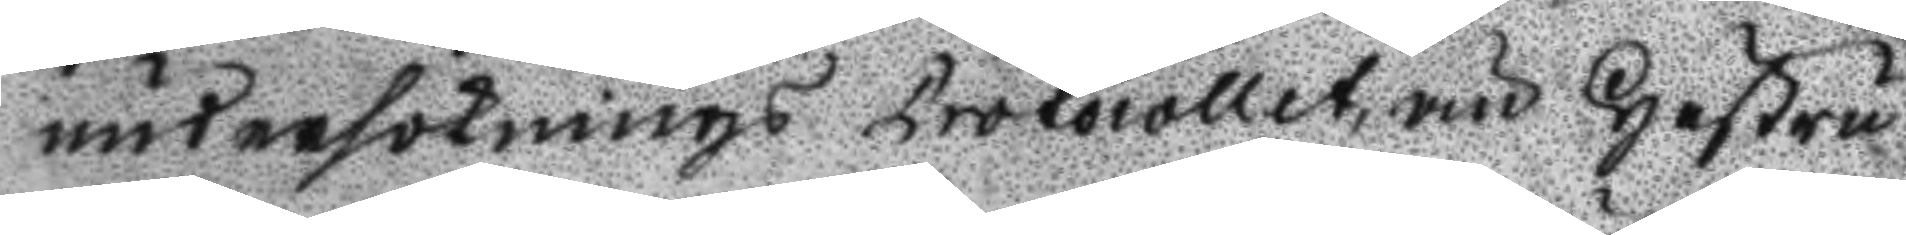undersöknings Protocollet, än Hustru
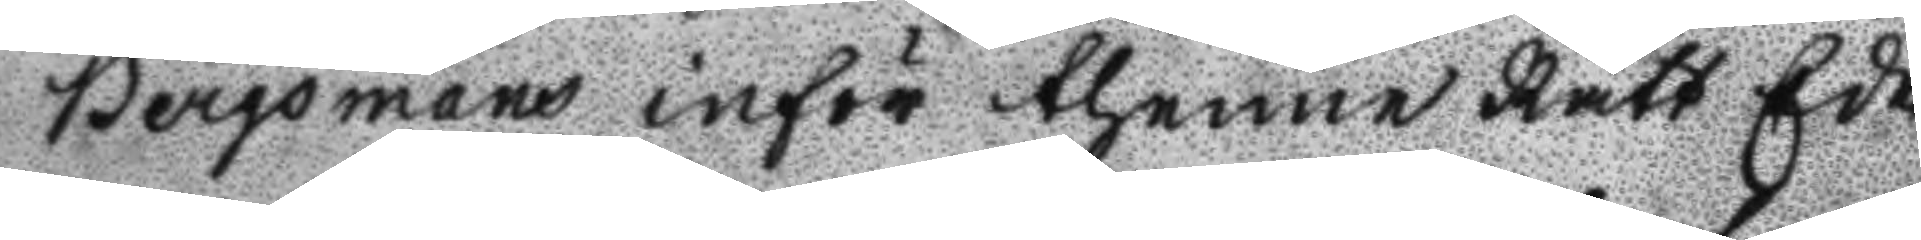Bergsmans inför thenne Rätt Ede¬
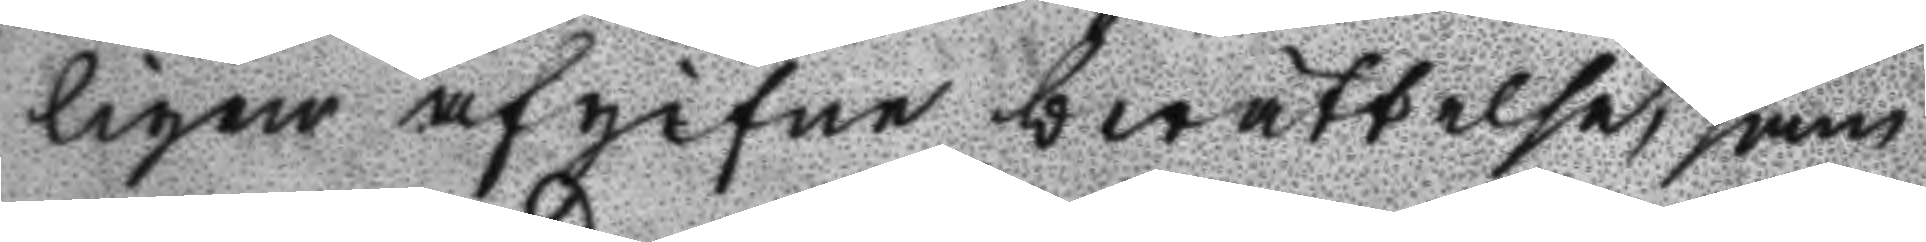ligen afgifne berättelse, sam
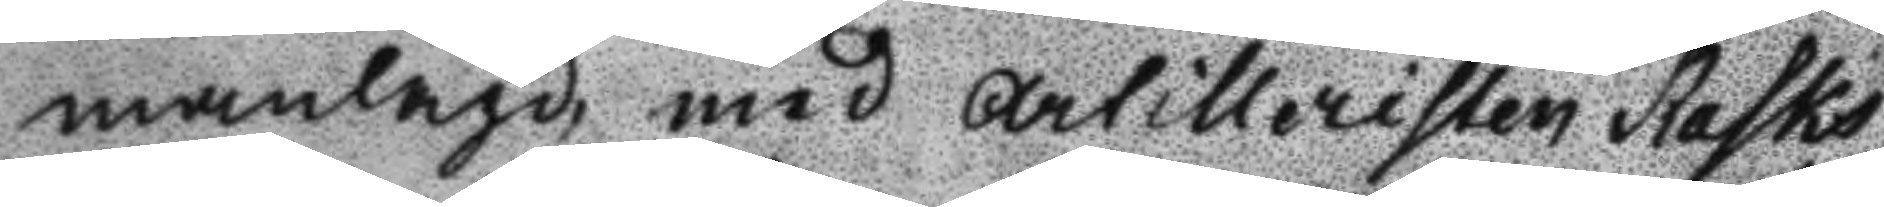manlagd, med artilleristen Rasks
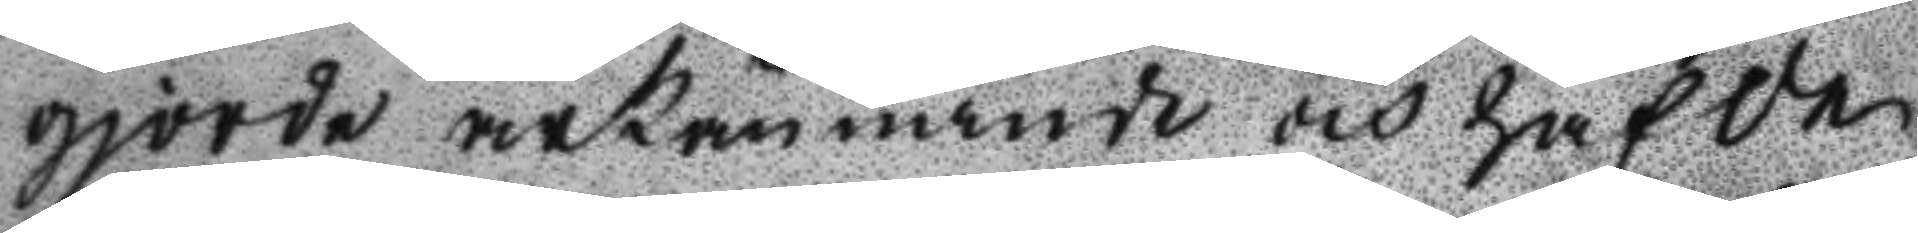gjorde ärkännande och hafde
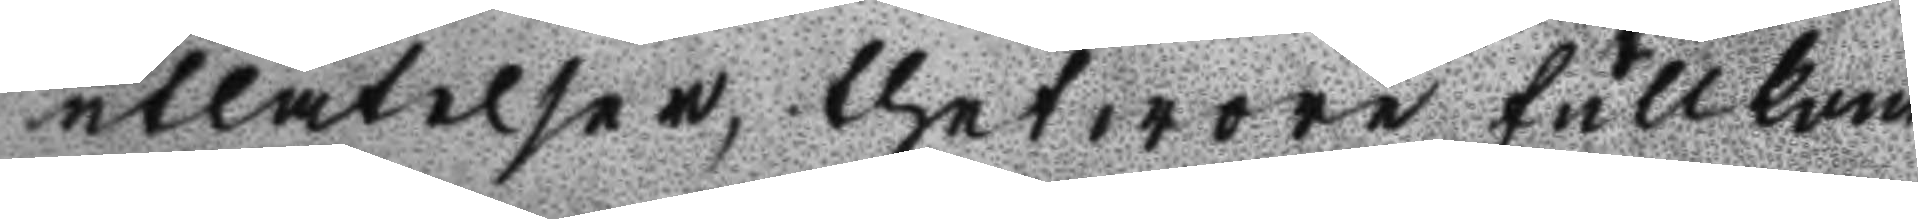utlåtelser, thet wore fullkom
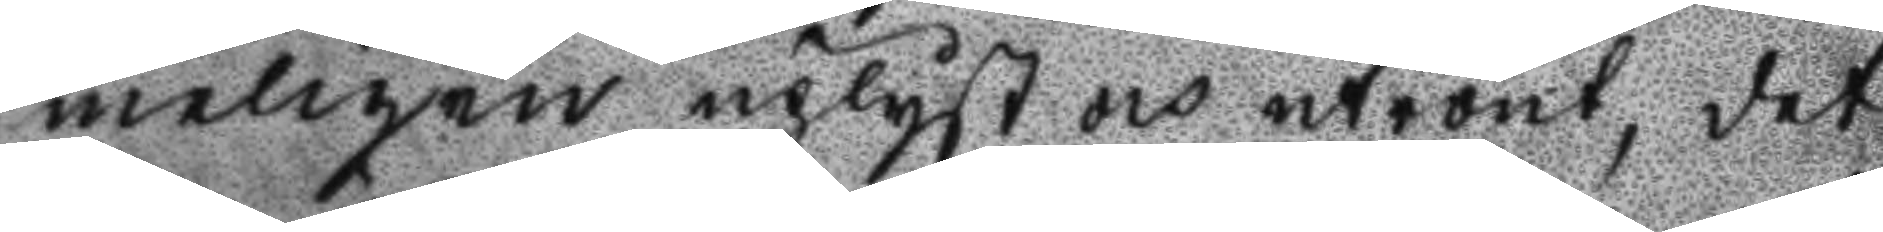meligen uplyst och utrönt, det
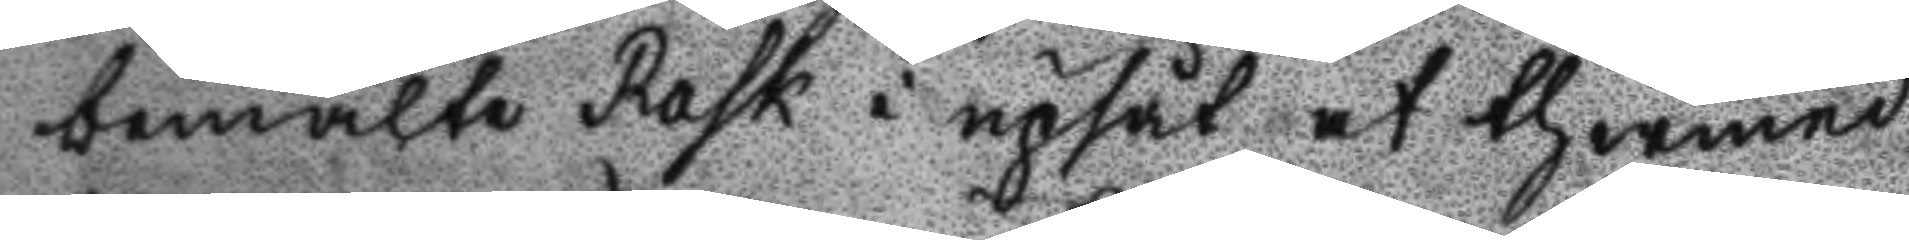bemälte Rask i upsåt at thermed
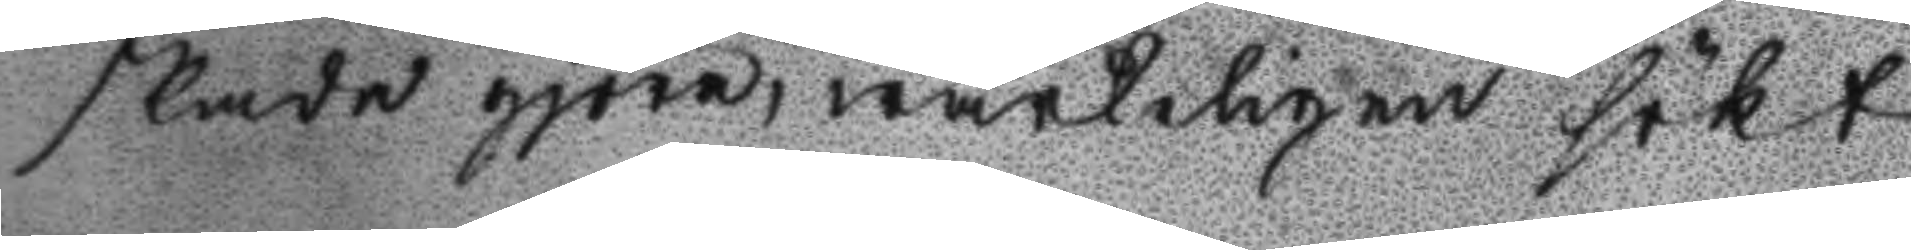skada gjöra, wärkeligen sökt
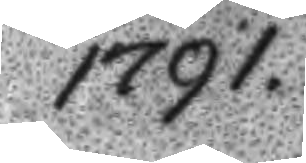1791.
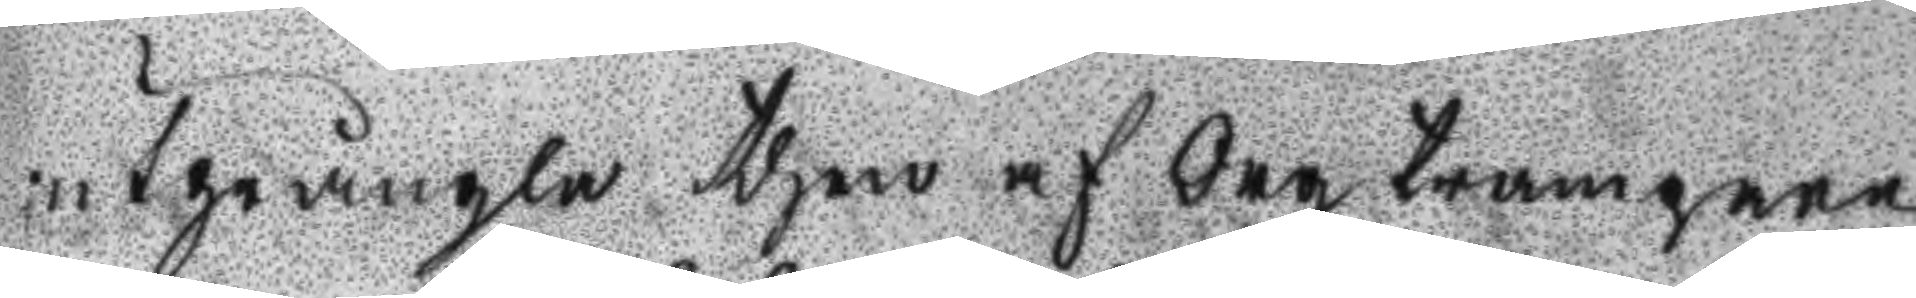utprångla then af deg trampare
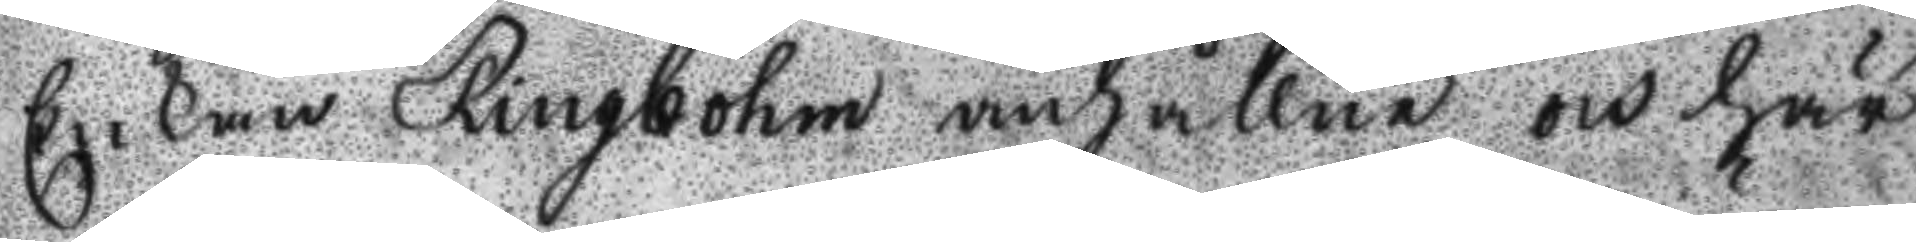Enkan Ringbohm anhållne och här
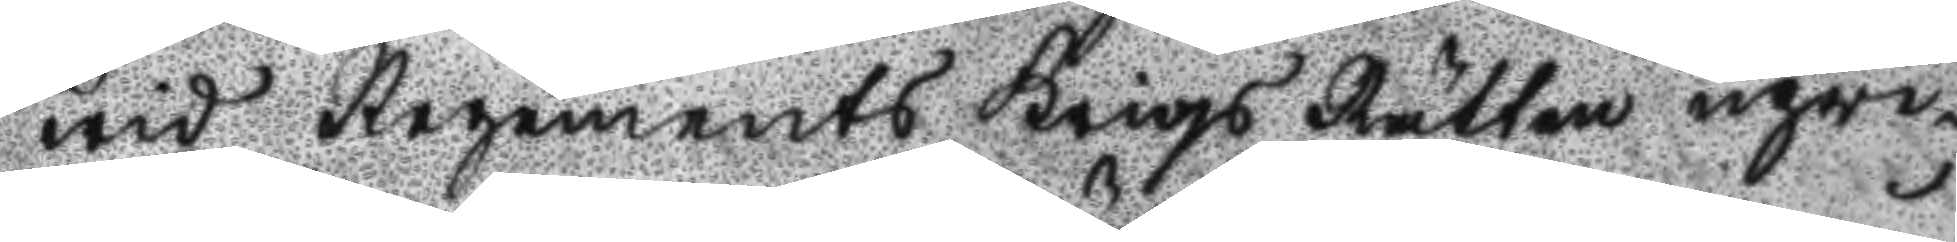wid Regements Krigs Rätten upwi¬
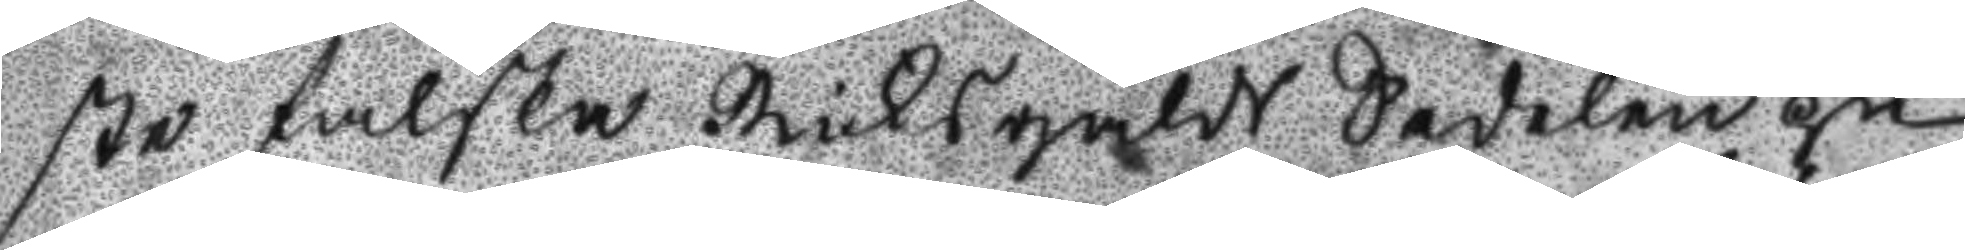ste falska Riksgälds Sedelen på
